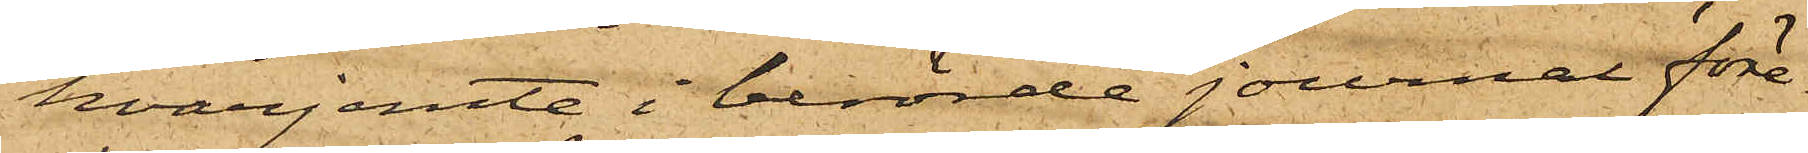hvarjemte i berörde journal före¬
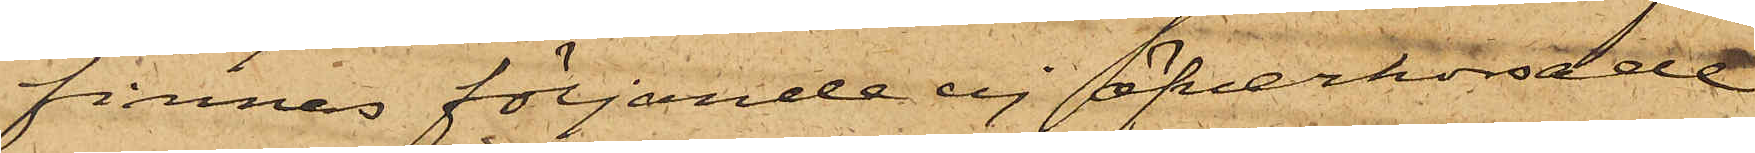finnes följande ej öfverkorsade
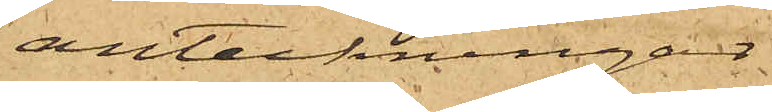anteckningar:
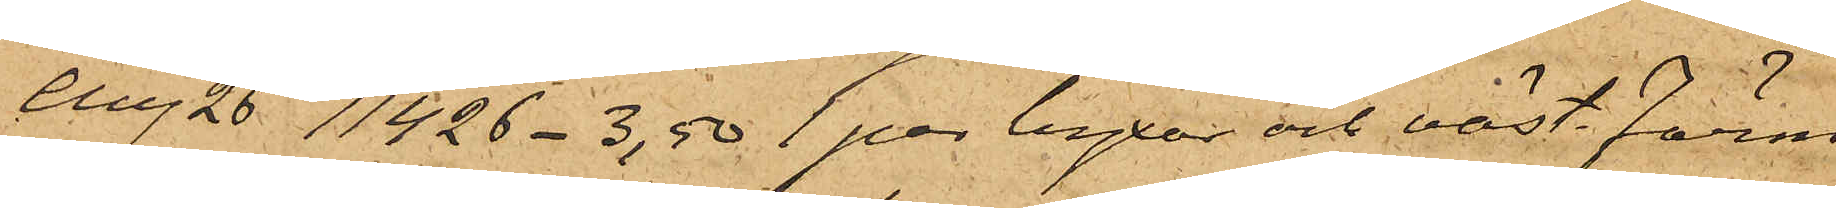Aug 26 11426 - 3,50 1 par byxor och väst Färm
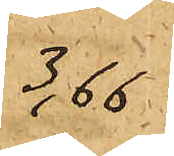3,66
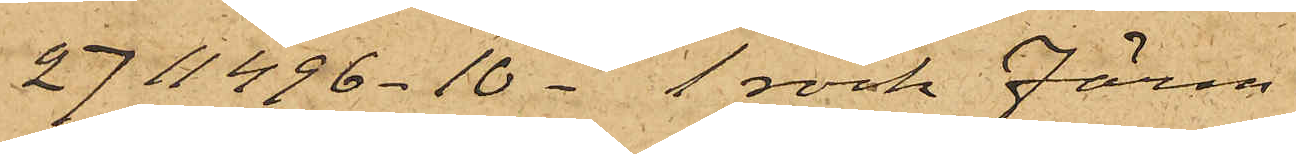27 11496 - 10 - 1 rock Färm
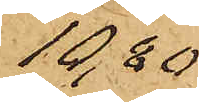10,80
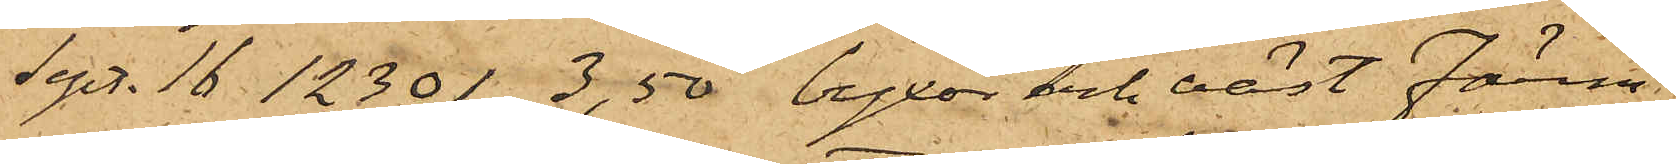Sept. 16 12301 3,50 byxor och väst Färm
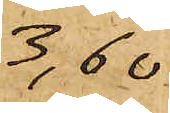3,60
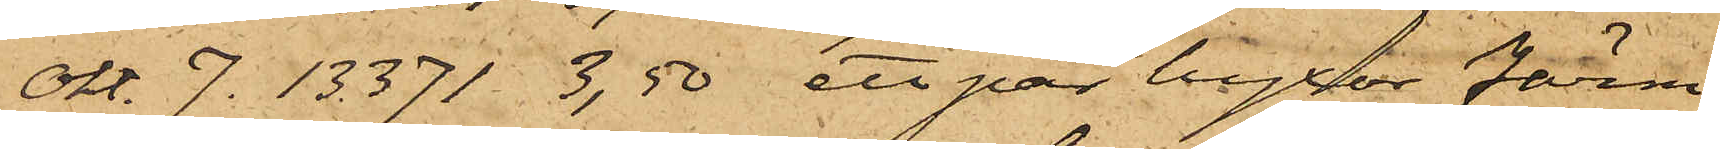Okt. 7. 13371 3,50 ett par byxor Färm
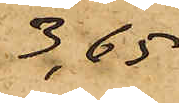3,65
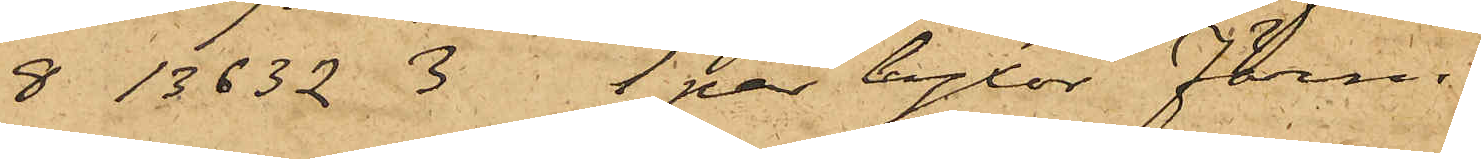8 18632 3 1 par byxor Färm
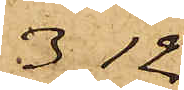3,12
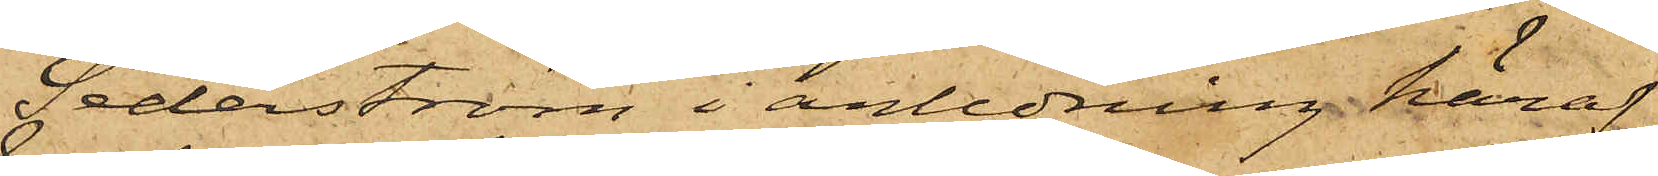Sederström i anledning häraf
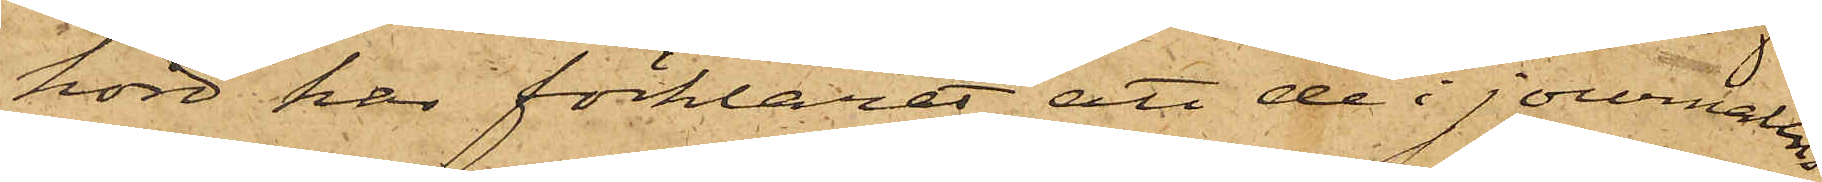hörd har förklarat, att de i journalens
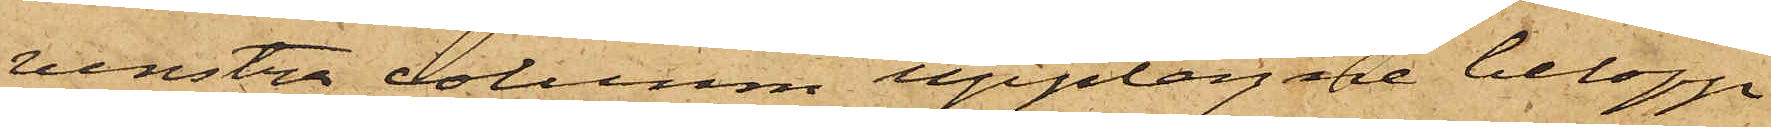venstra column upptagne belopp
